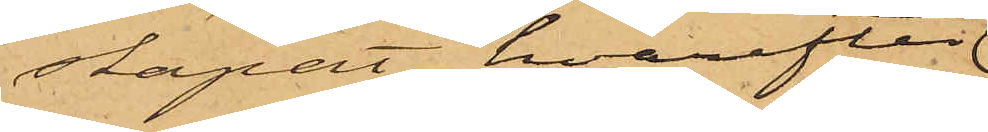skapat, hvarefter
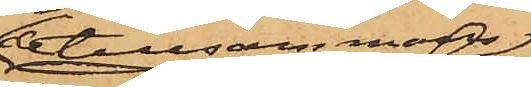de tillsammans
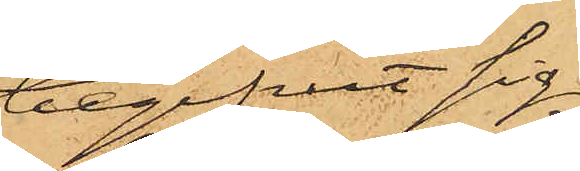begifvit sig
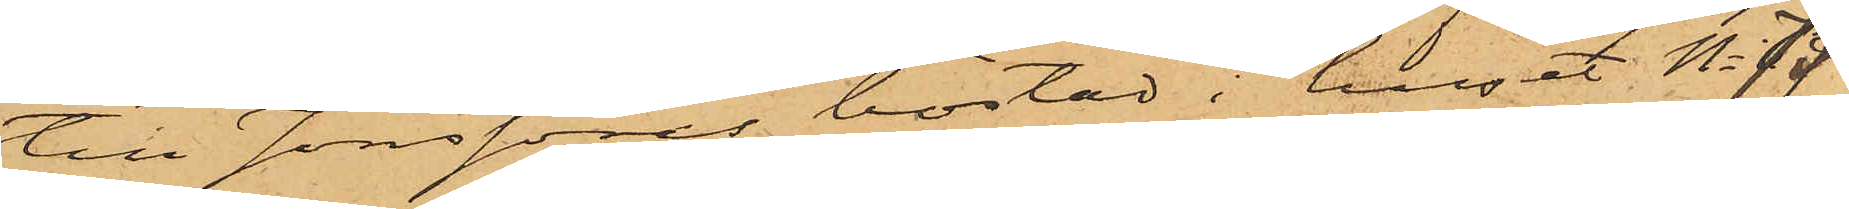till Jonssons bostad i huset No 73
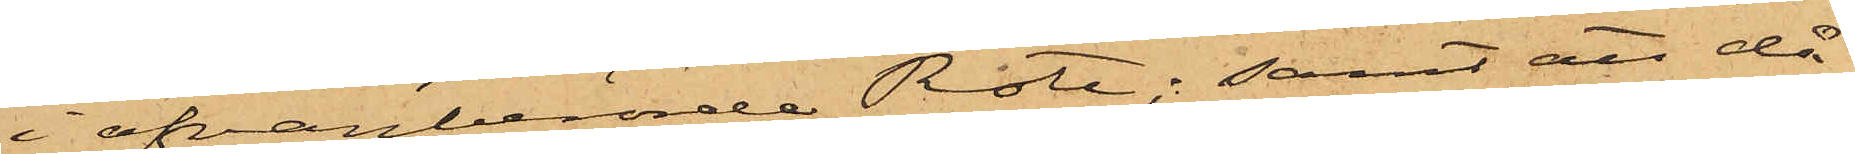i ofvanberörde Rote; samt att då
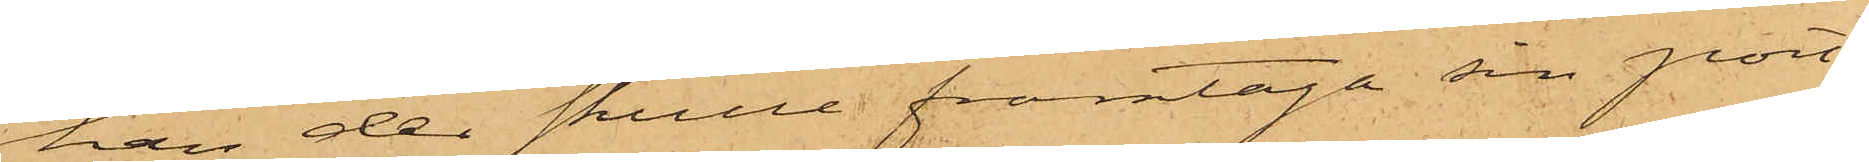han der skulle framtaga sin port¬
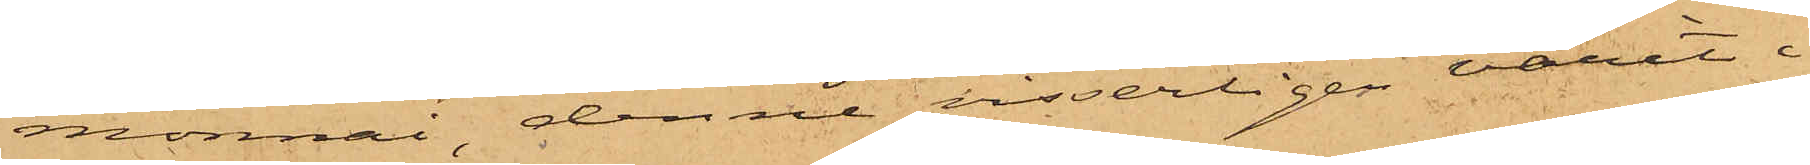monnai, denna visserligen varit i
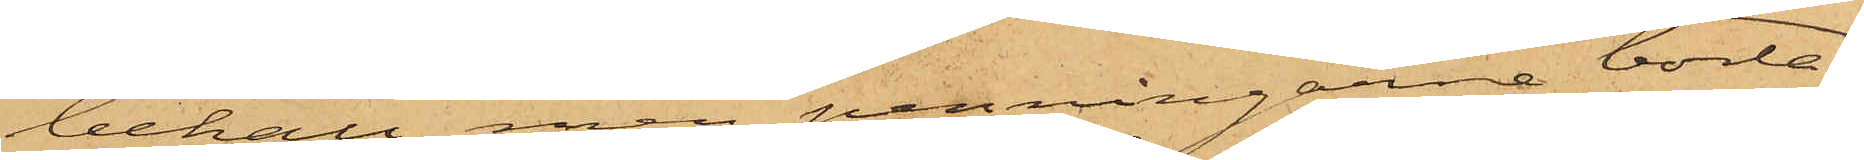behåll men penningarne borta.
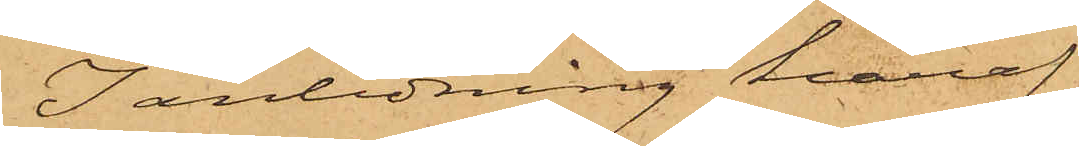I anledning häraf
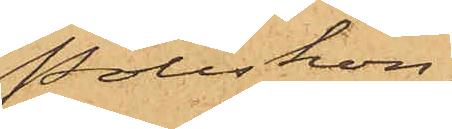Poliskon¬
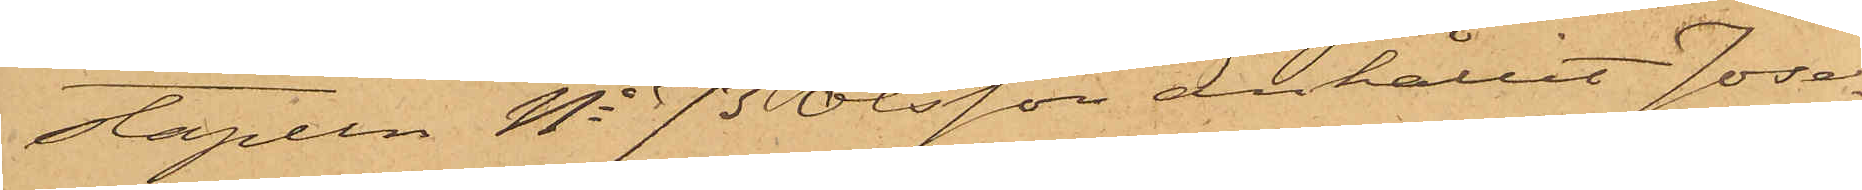stapeln No 73 Olsson anhållit Jose¬
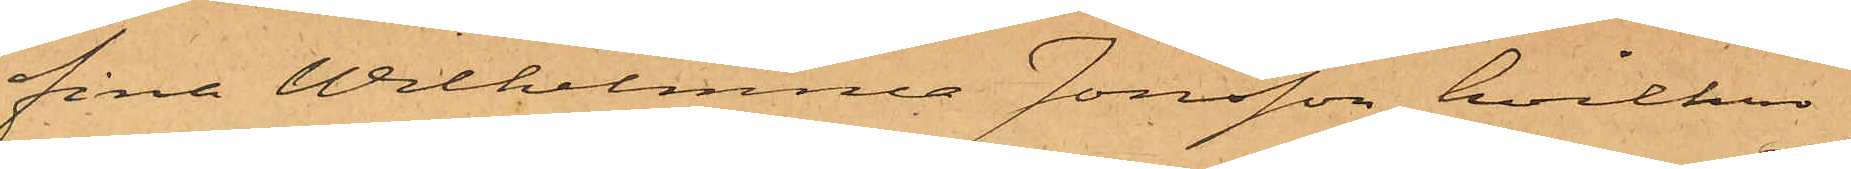fina Wilhelmina Jonsson, hvilken
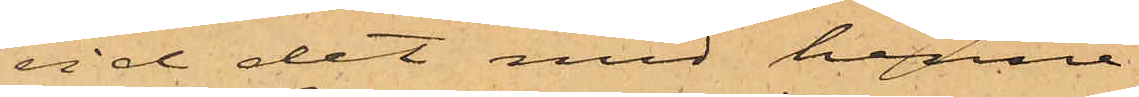vid det med henne
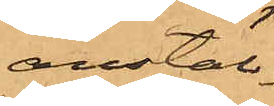anstäl¬
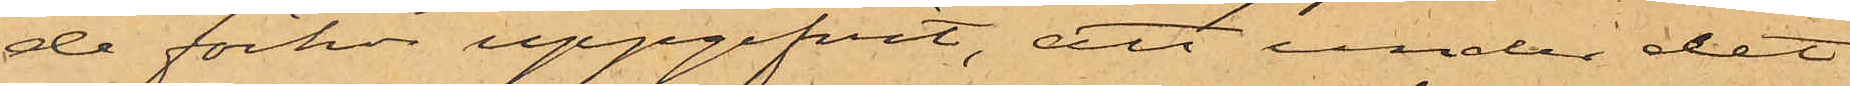de förhör uppgifvit, att under det
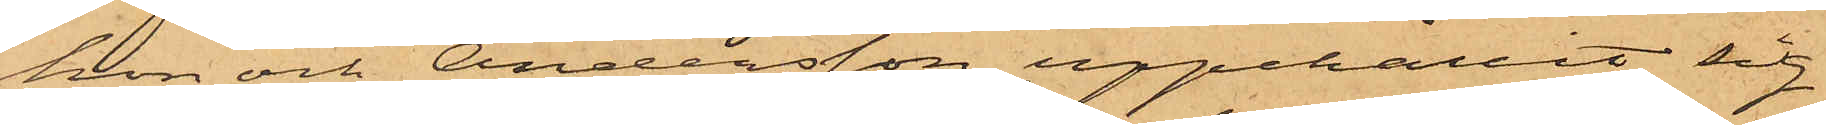hon och Andersson uppehållit sig
